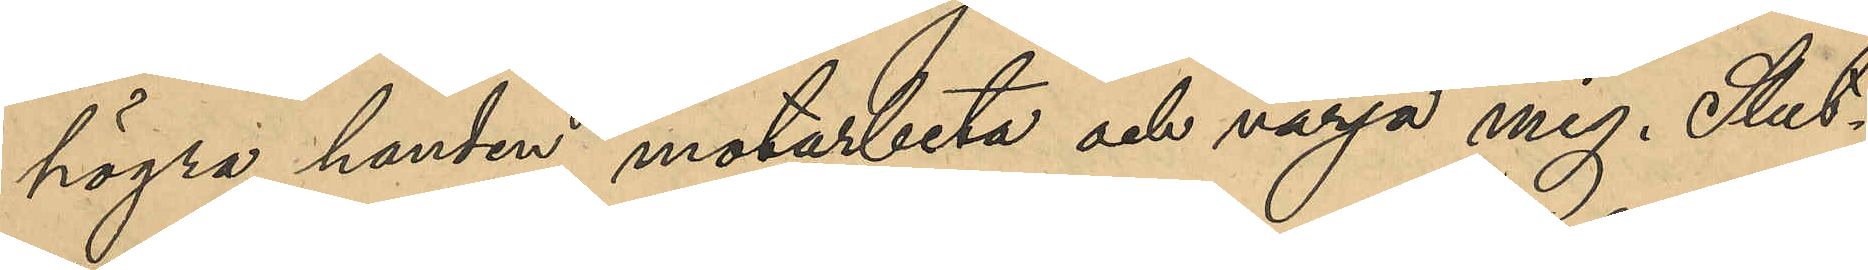högra handen motarbeta och värja mig. Slut¬
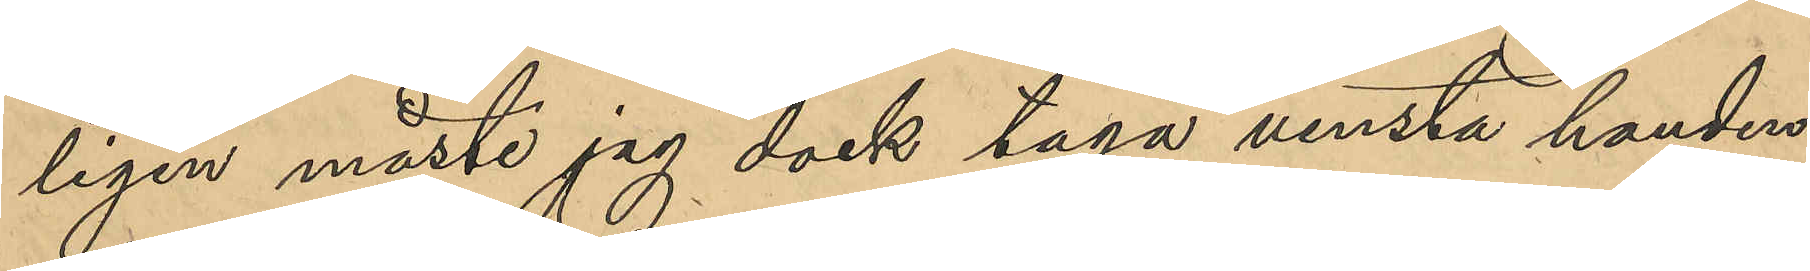ligen måste jag dock taga venstra handen
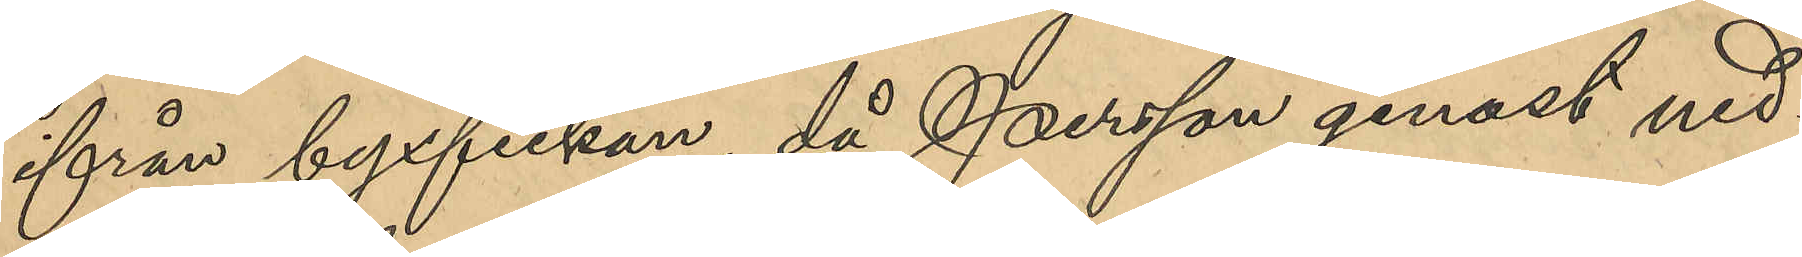ifrån byxfickan, då Persson genast ned¬
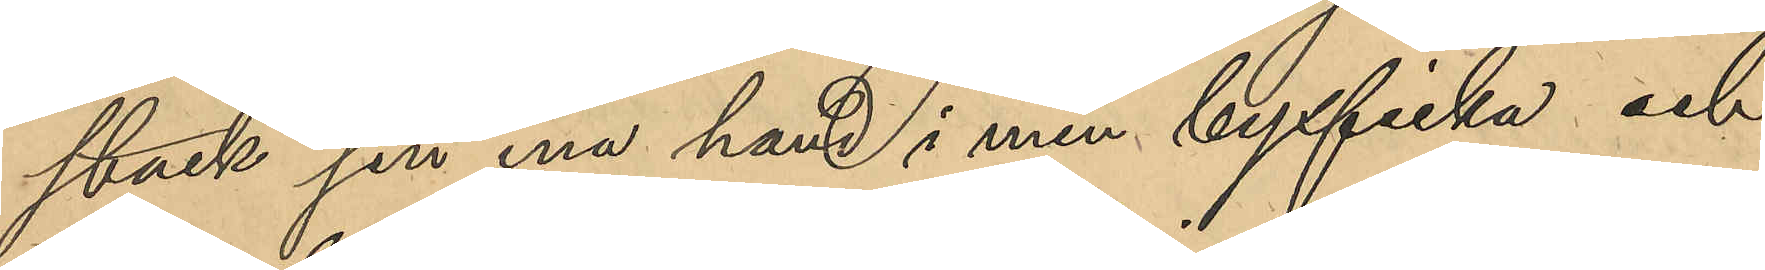stack sin ena hand i min byxficka och
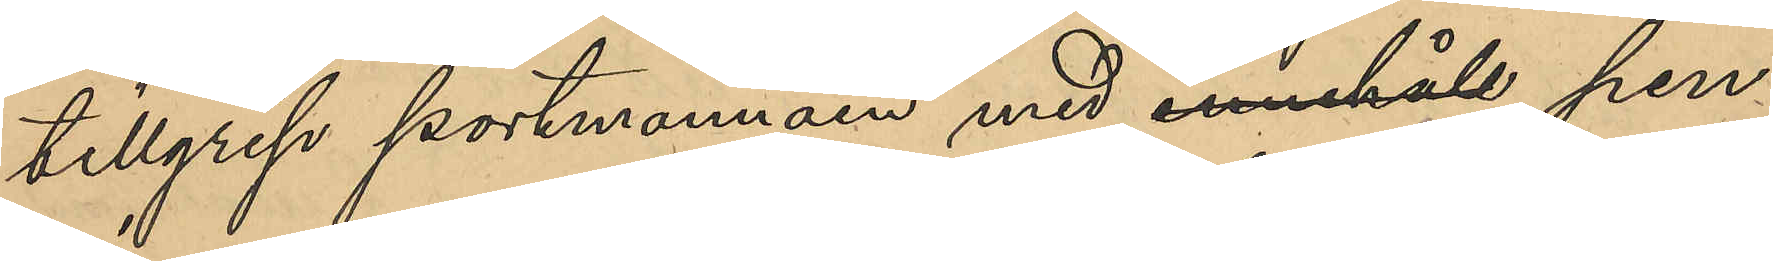tillgrep portmonnäen med innehåll pen¬
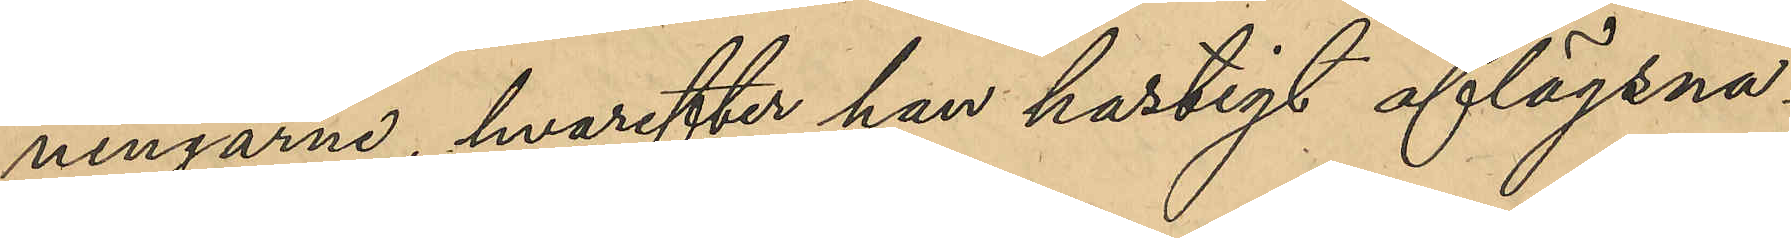ningarne, hvarefter han hastigt aflägsna¬
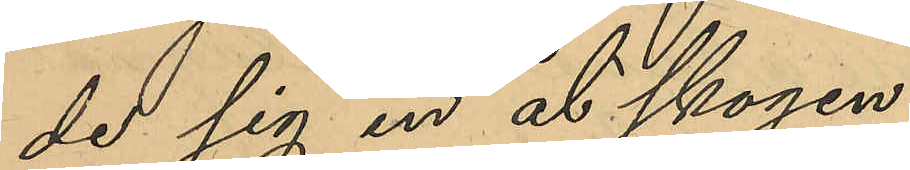de sig in åt skogen.
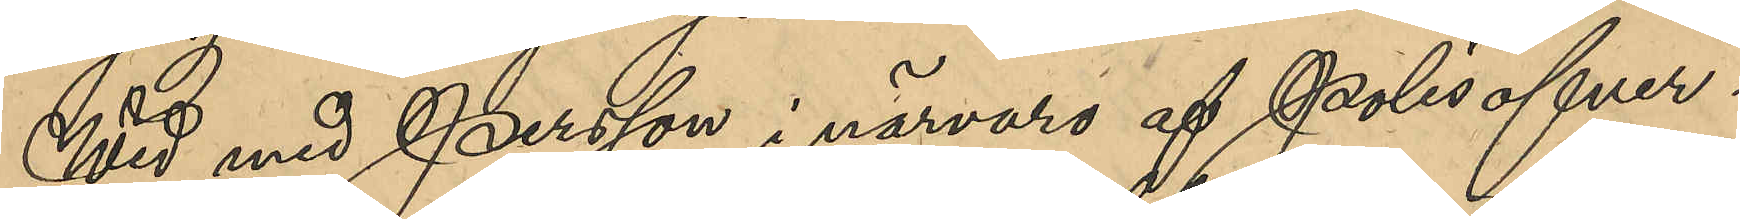Wid med Persson, i närvaro af Polisöfver¬
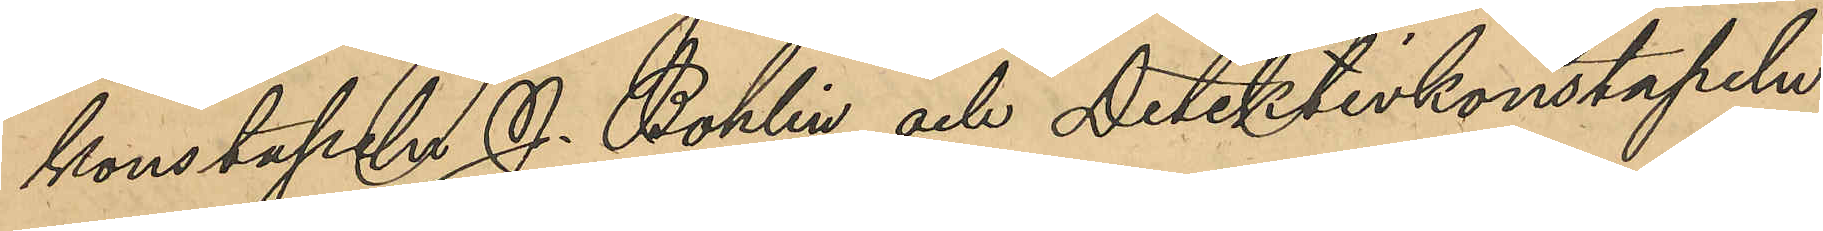konstapeln J. Bohlin och Detektivkonstapeln
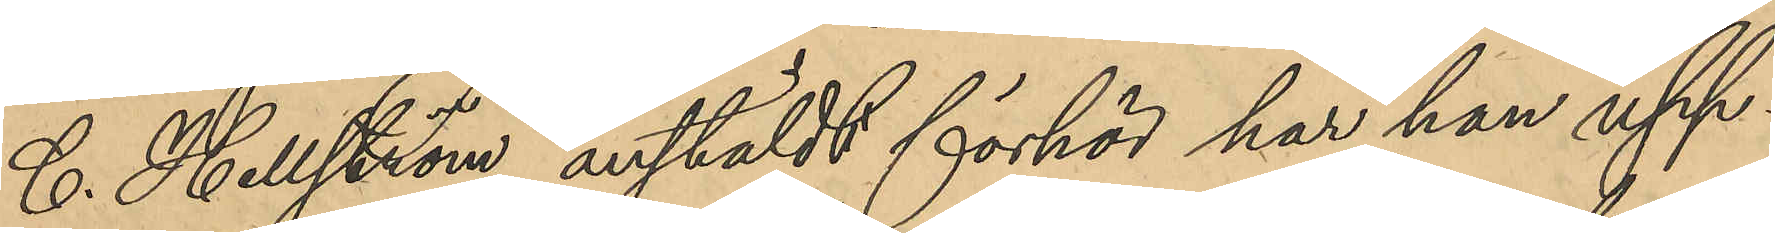C. Hellström anstäldt förhör har han upp¬
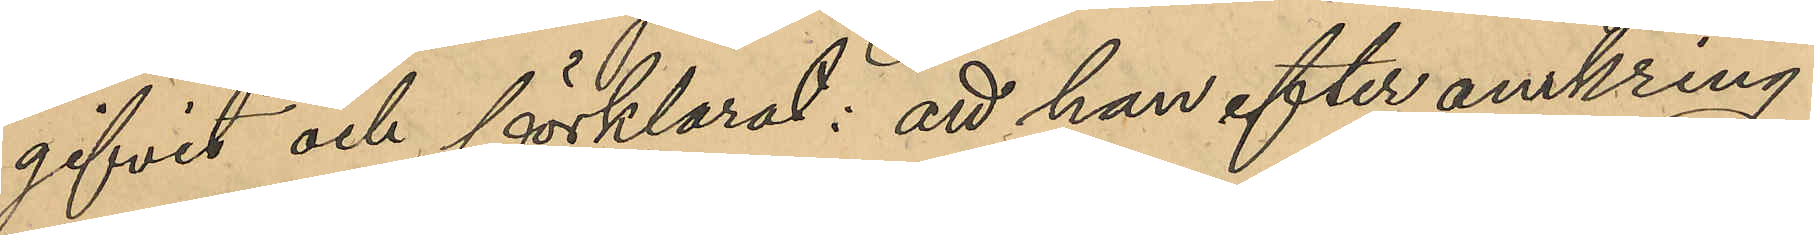gifvit och förklarat: att han efter omkring
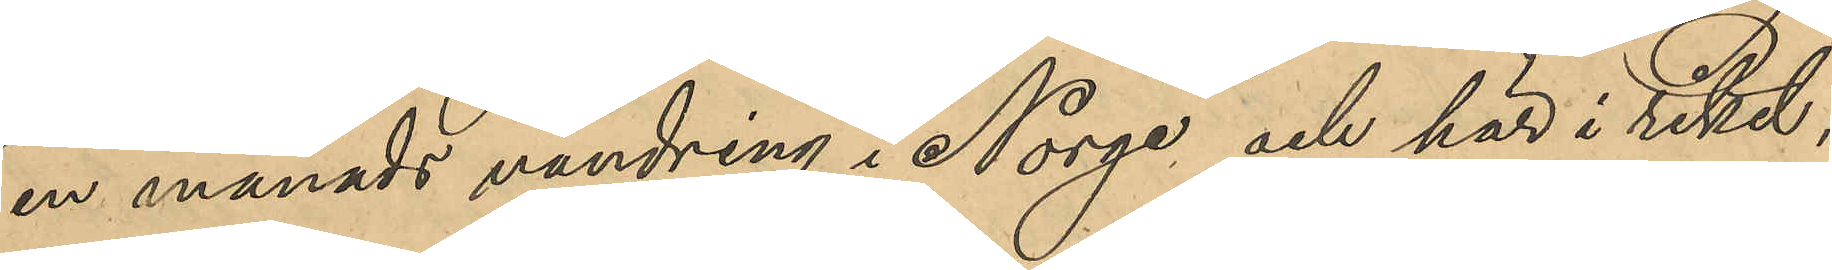en månads vandring i Norge och här i riket
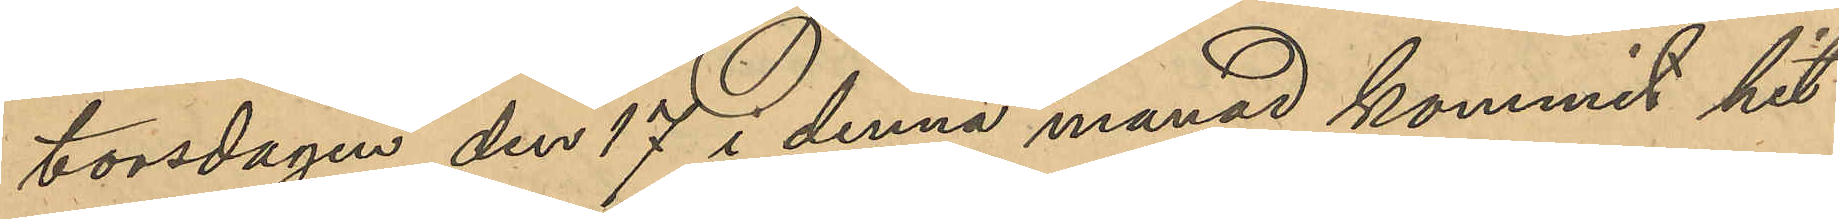torsdagen den 17 i denna månad kommit hit
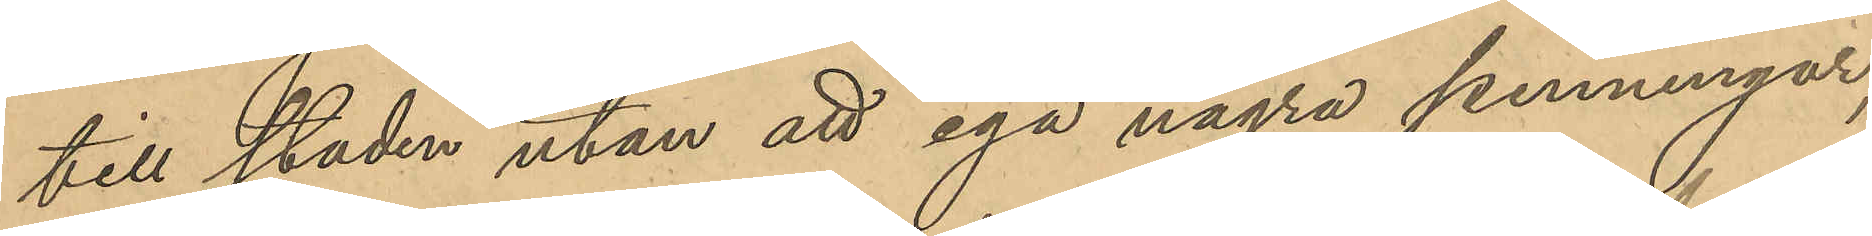till staden utan att ega några penningar;
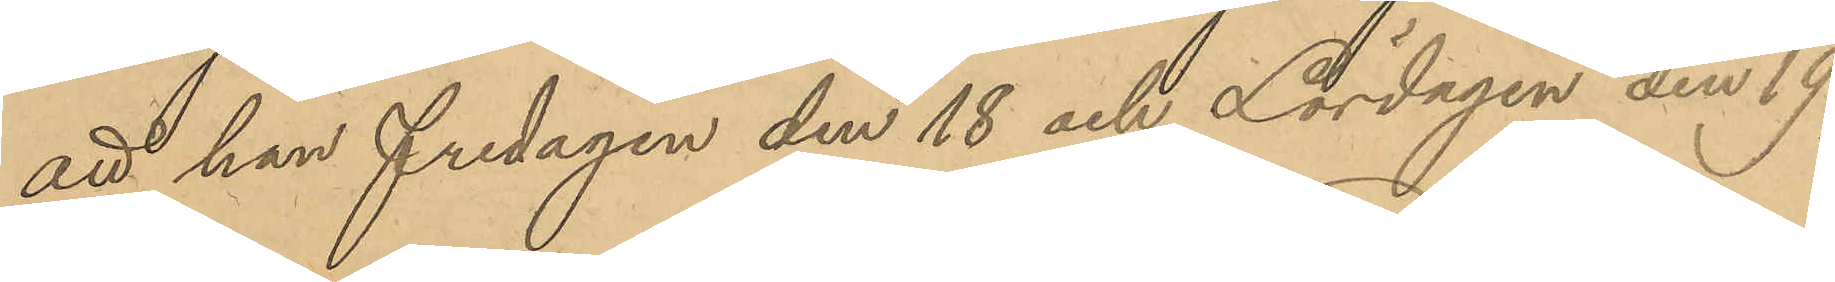att han fredagen den 18 och Lördagen den 19
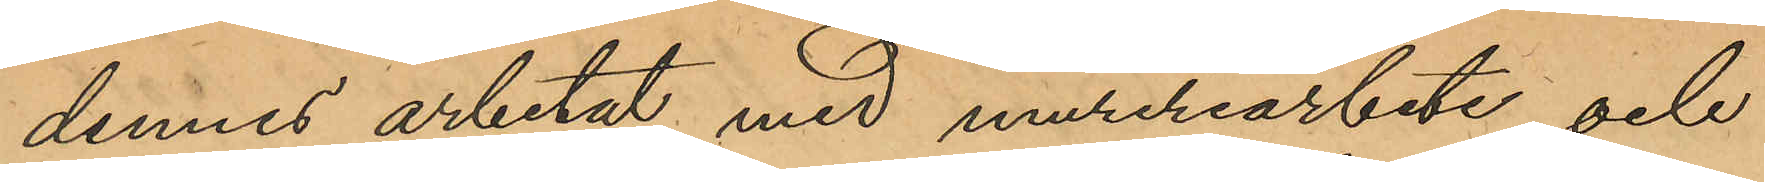dennes arbetat med mureriarbete och
